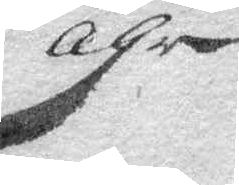åhr
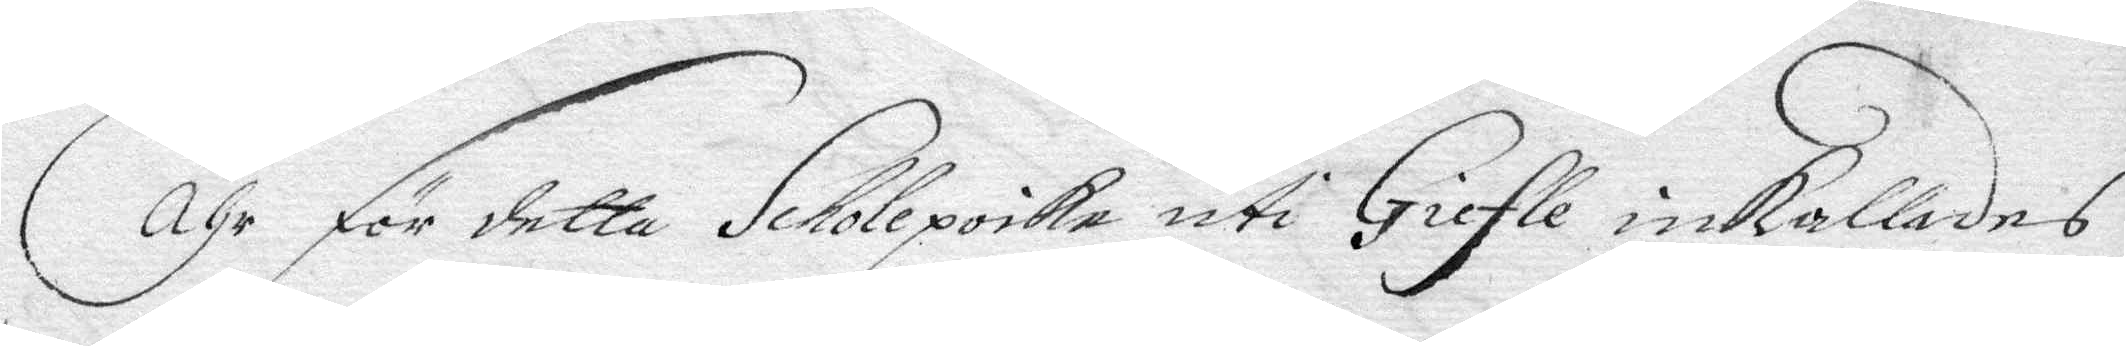Åhr för detta Scholpoike iti Giefle inkallades
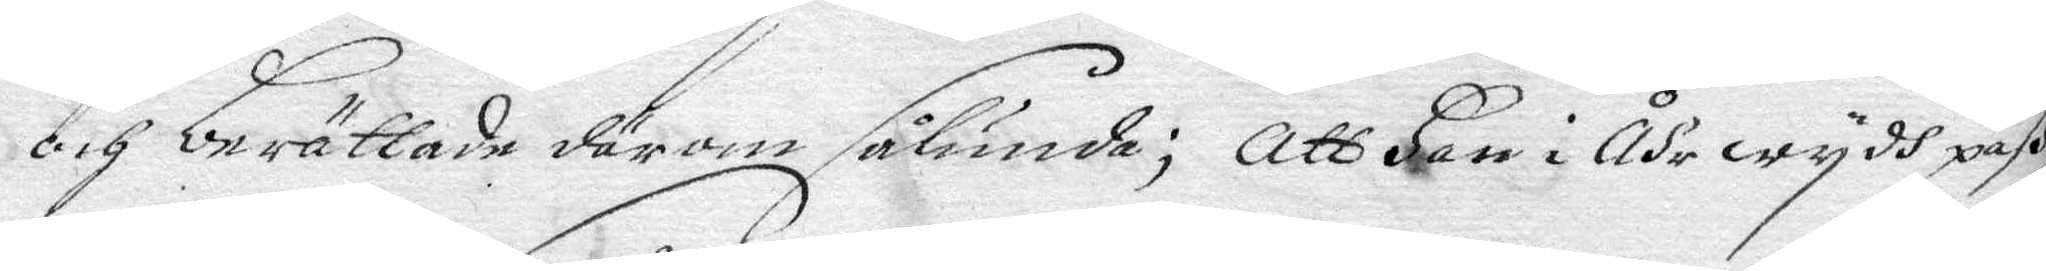och berättade därom sålunda; att Han i Åhr wydh paß
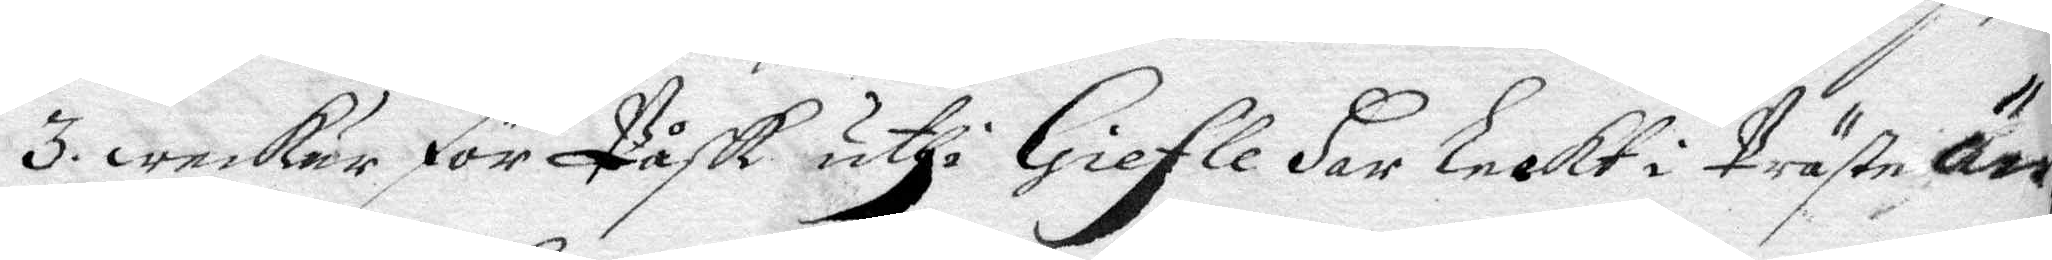3. wecur för Påsk uthi Giefle Har leckt i Präste än¬
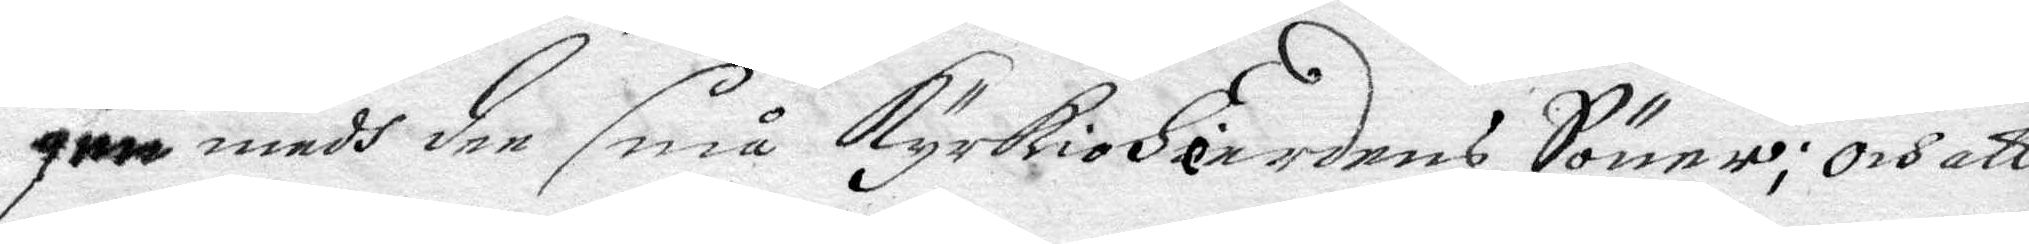gen medh dee små kyrkioHerdens Sönner; Och att
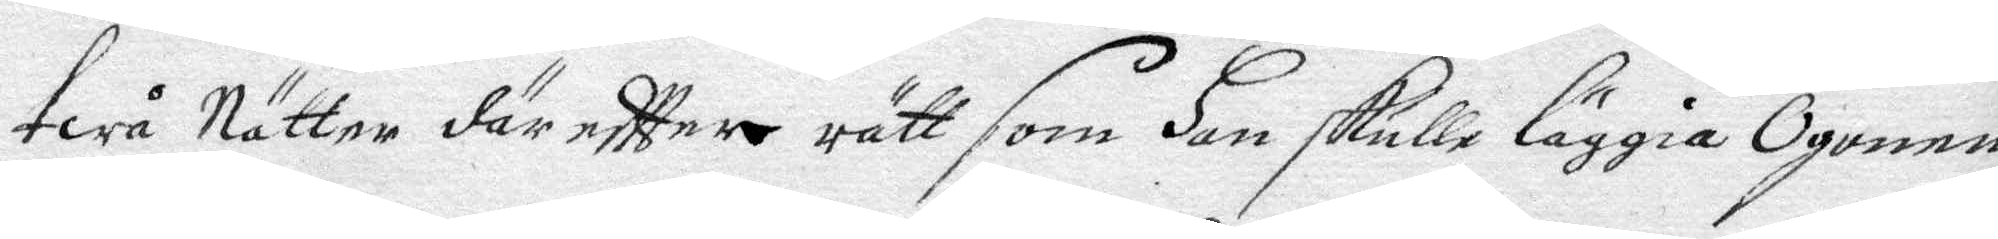twå Nätter där eftter rätt som Han skulle läggia Ögonen
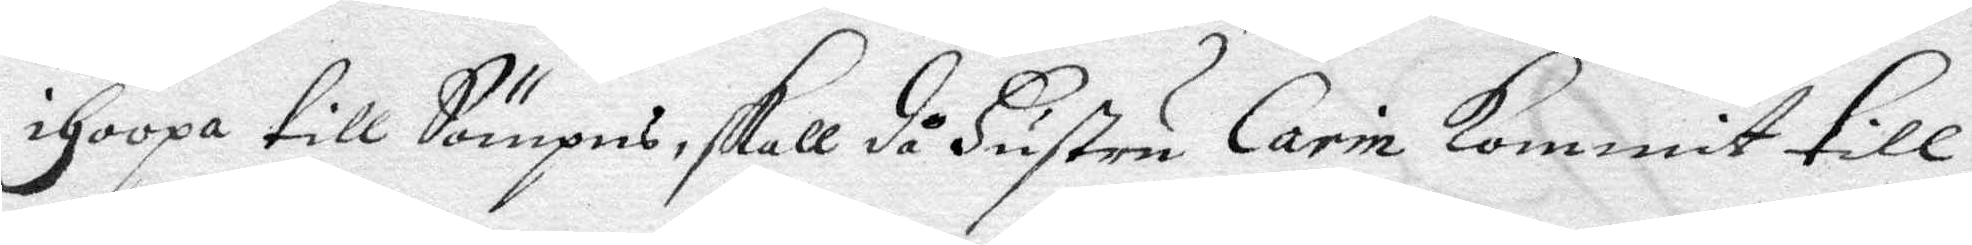ihoopa till Sömpns, skall så Hustru Carin kommit till
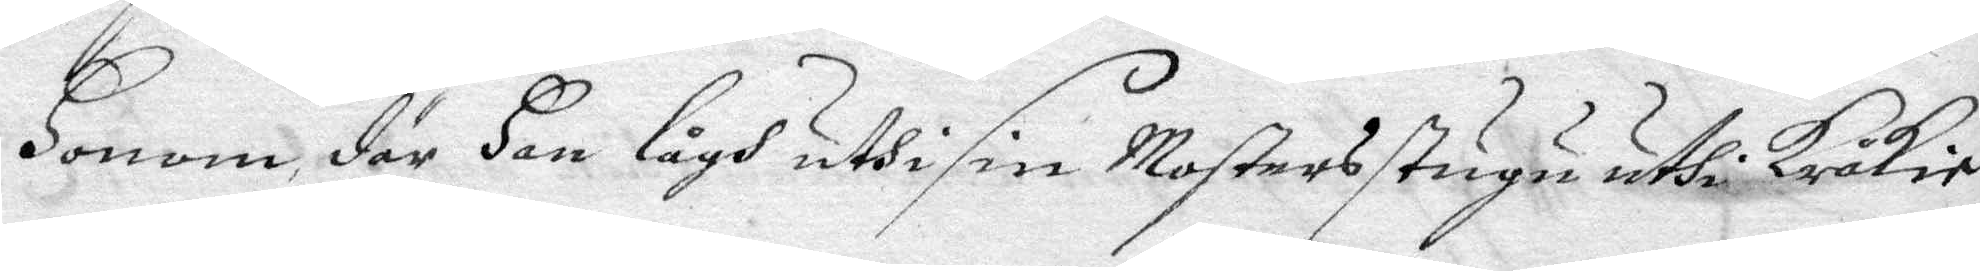Honom, där Han lågh uthi sim Mosters stugu uthi Kråkie¬
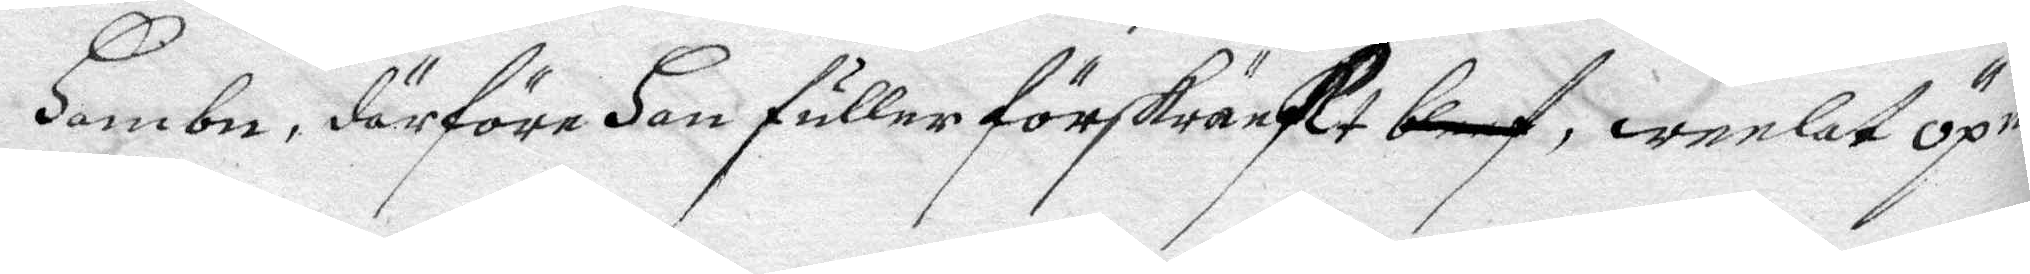Hambn, därföre Han fuller sörskräckt bleef, weelat Öpna
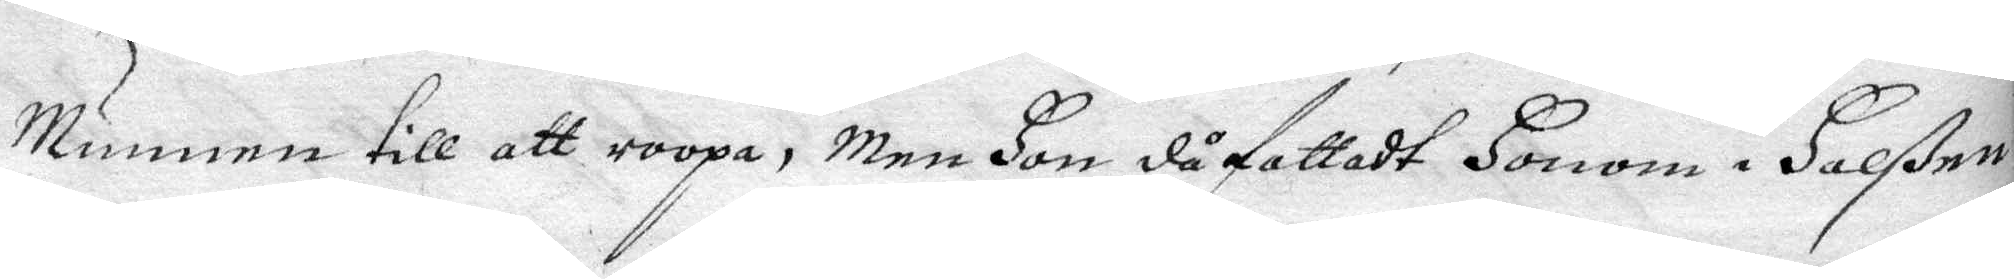Munnen till att roop, Men Hon då fattadt Honom i Halßen
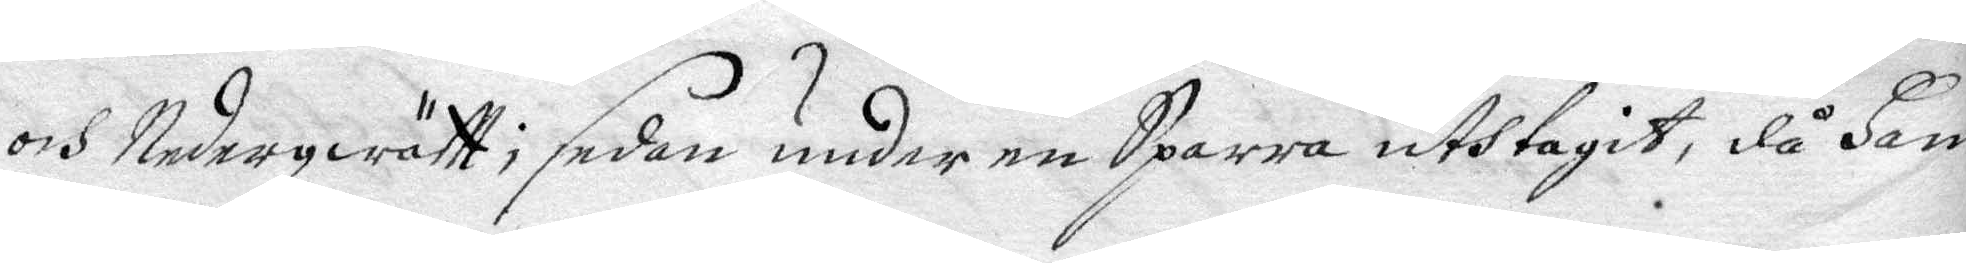och Nederqwätt; sedan under en Sparra uthtagit, då Han
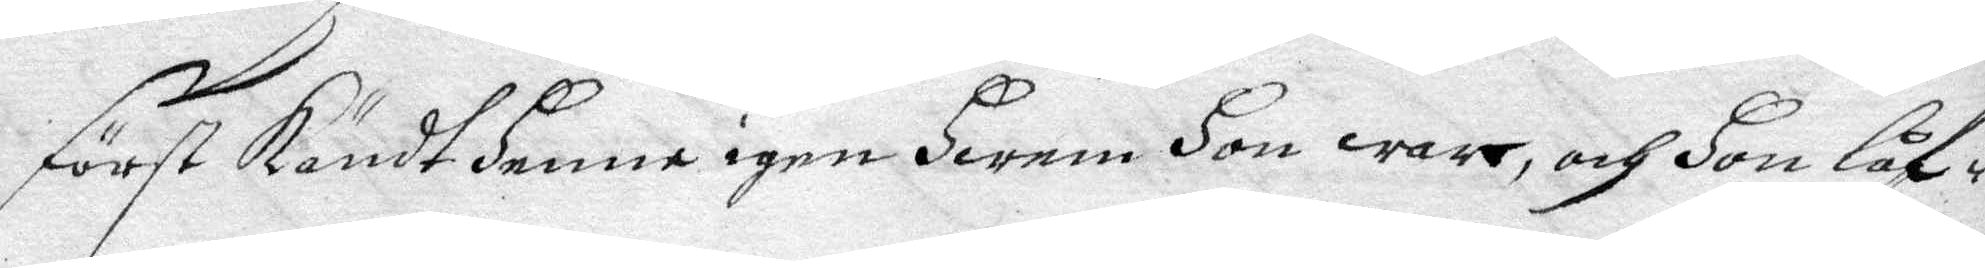först kändt Henne igen Hwem Hon war, och Hon låf¬
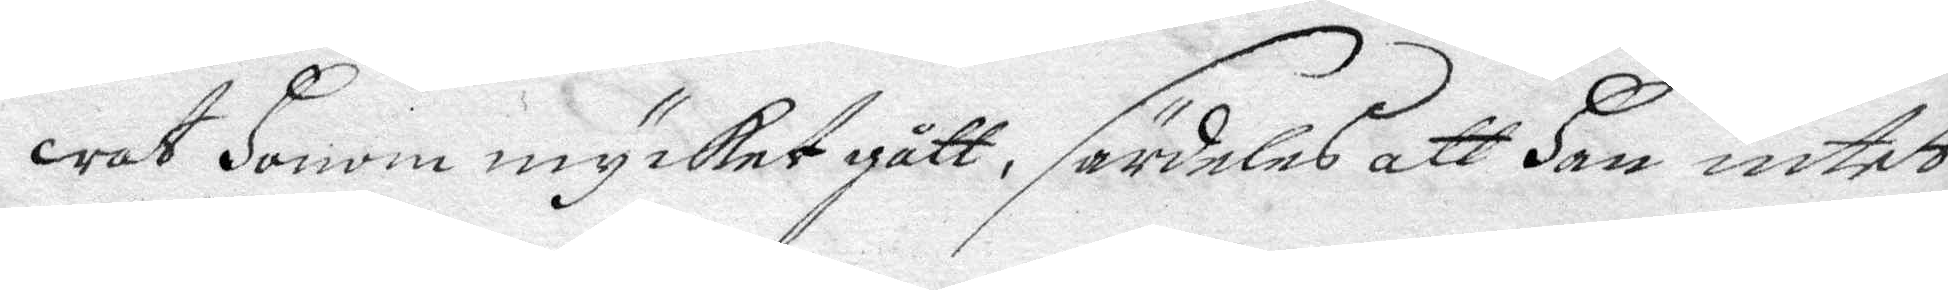wat Honom mycket gått, särdeles att Han intet
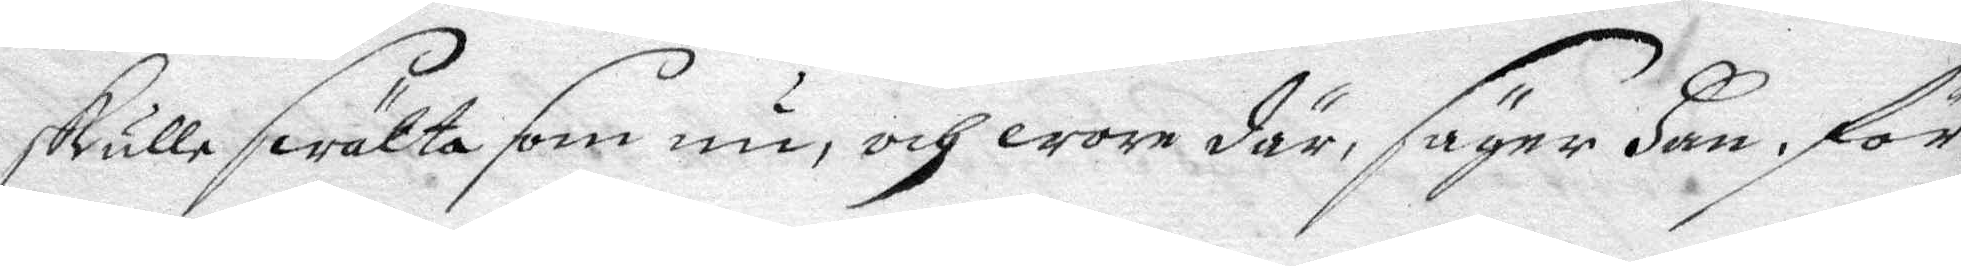skulle swälta som nu, och wore där, säger Han, för
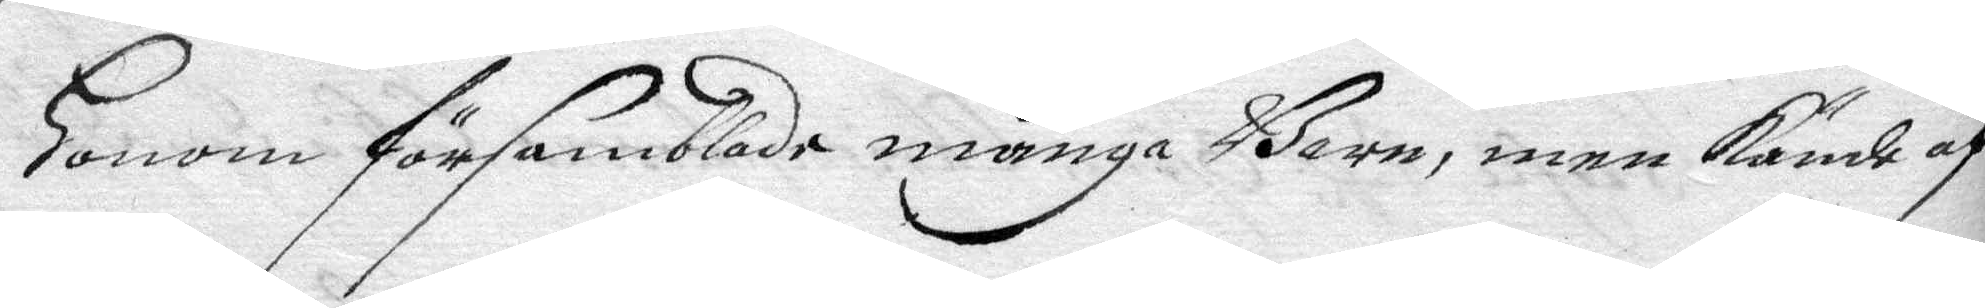Honom församblade många Barn, men kände af
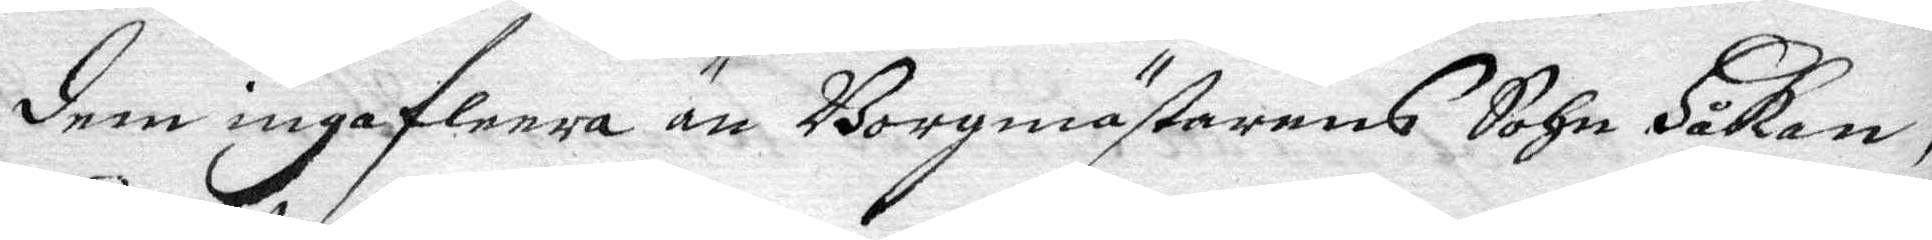dem inga flera än Borgmästarens Sohn Håkan,
